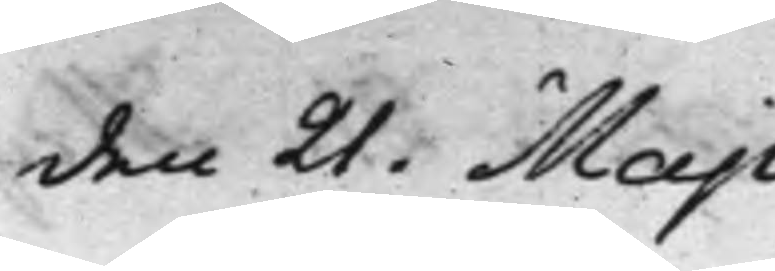den 21. Maji
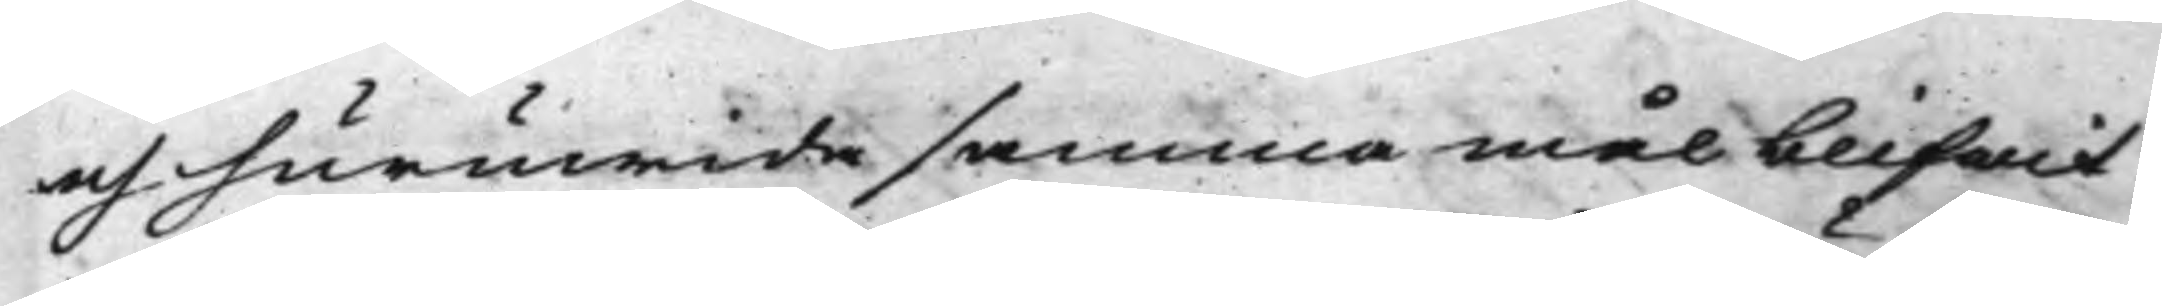och huruwida samma mål blifwit
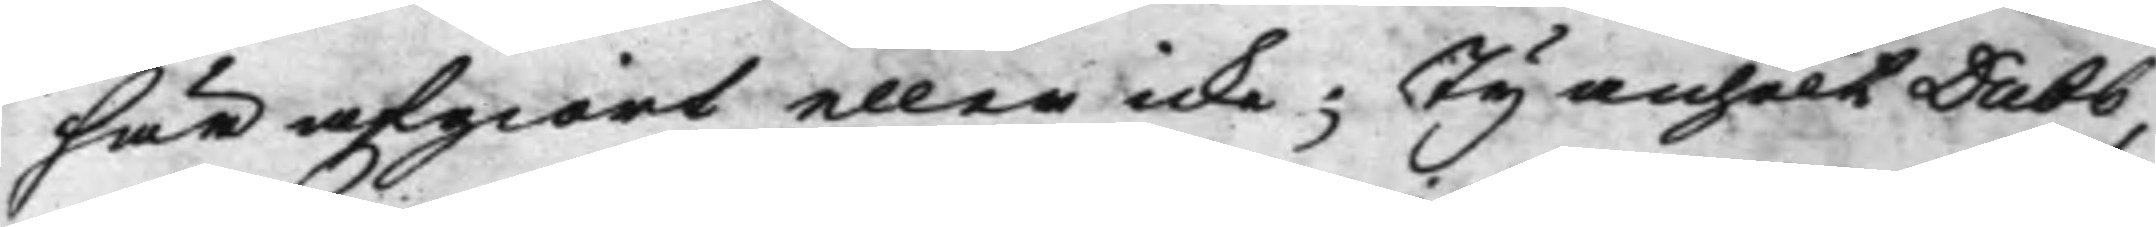här afgiort eller icke; Ty anhölt Dubb,
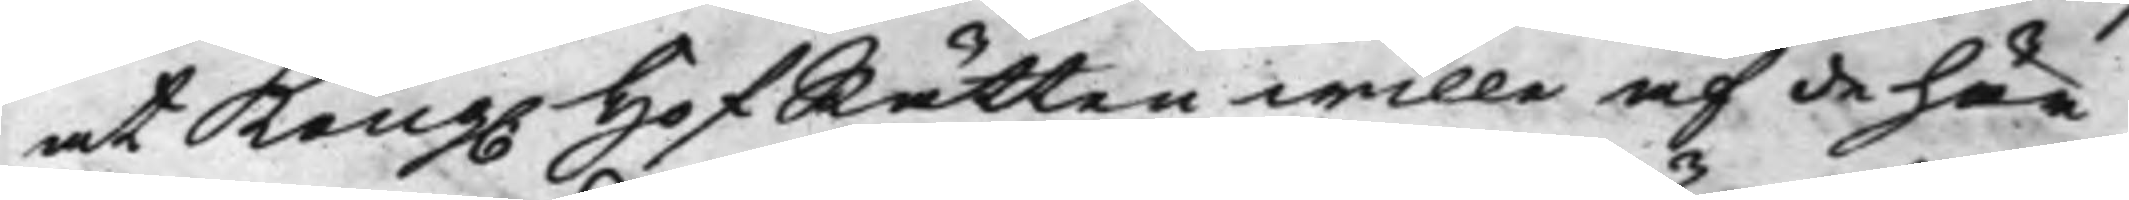at Kong. HofRätten wille af de här 
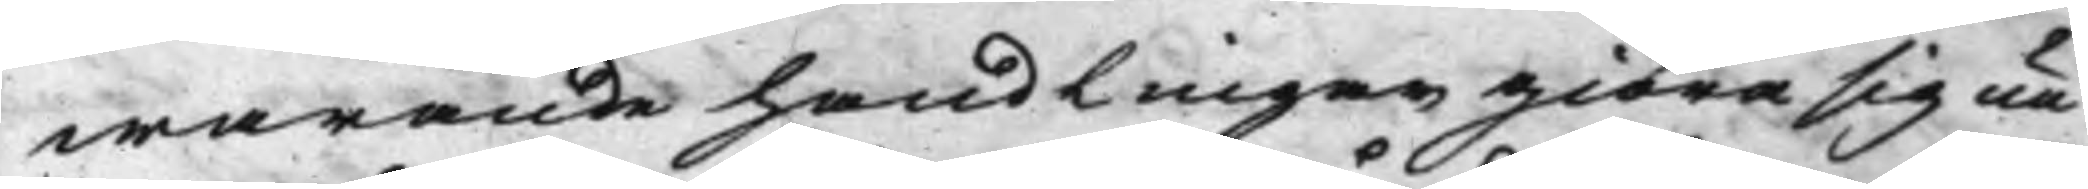warande handlingar giöra sig un¬
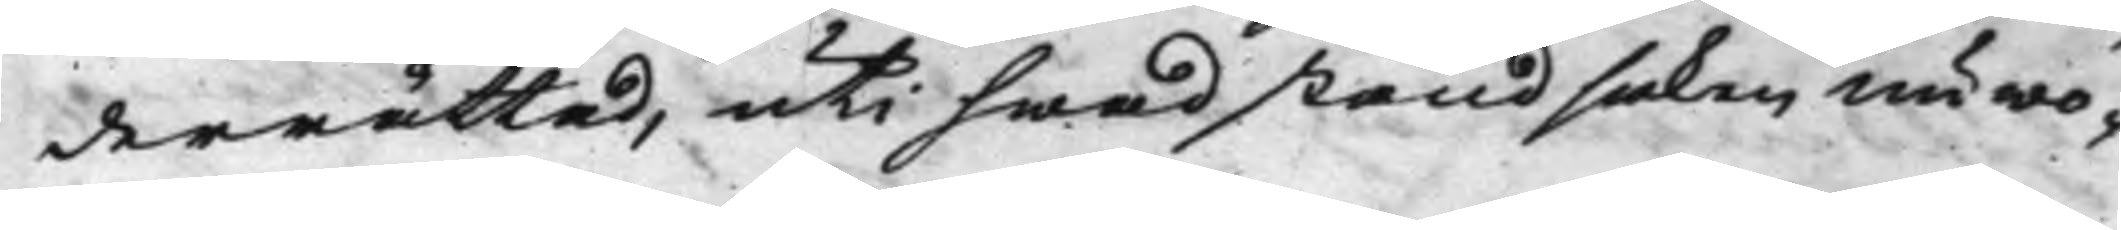derrättad, uti hwad stånd saken nu wo¬
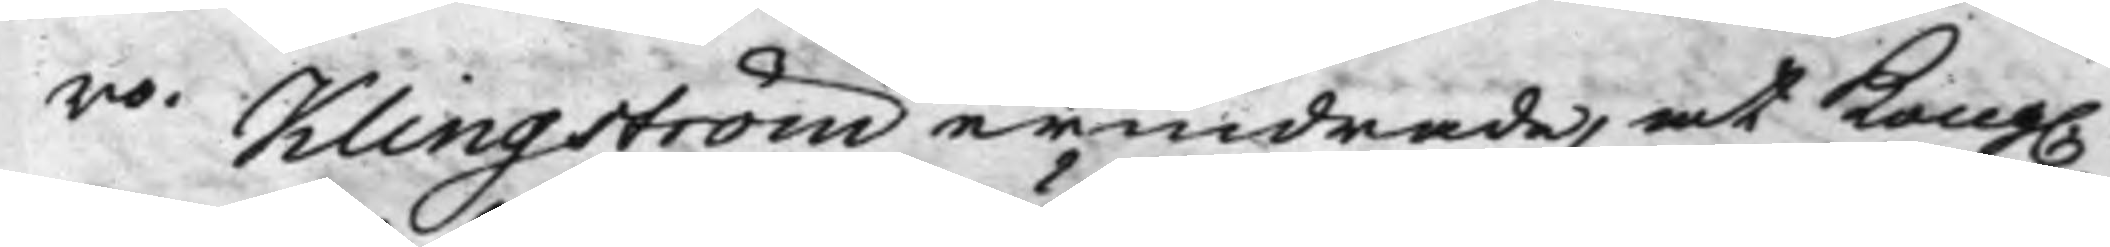ro. Klingström erindrade, at Kong.
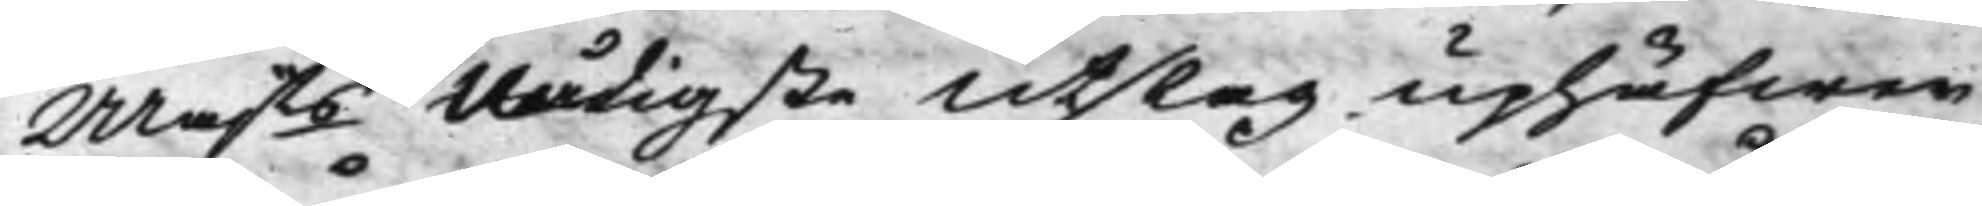Majts Nådigste Utslag uphäfwer
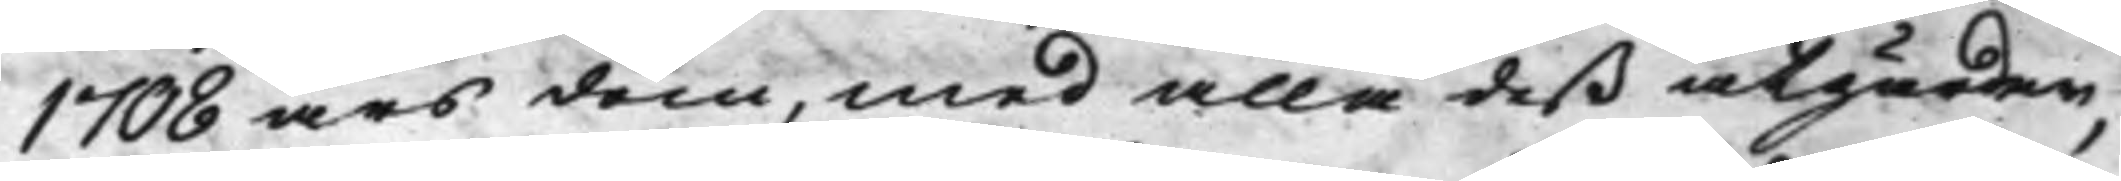1708 års dom, med alla deß åtgårder,
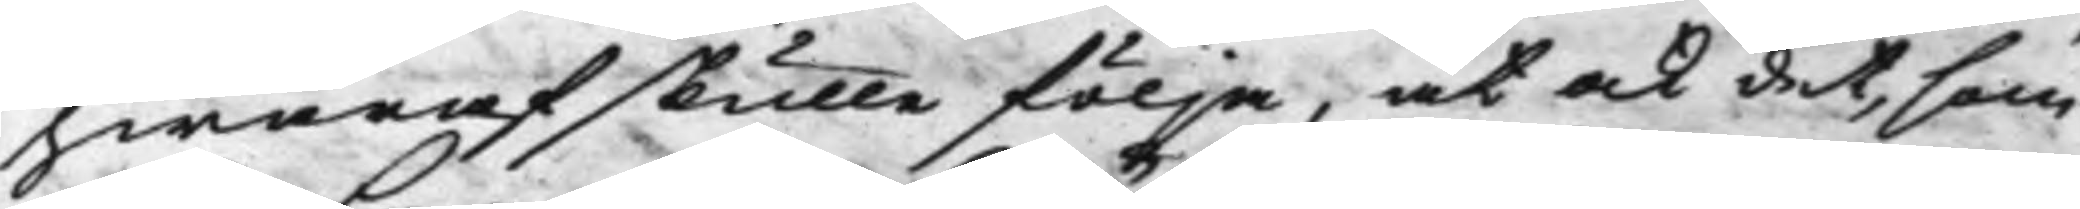hwaraf skulle följa, at ock det, som
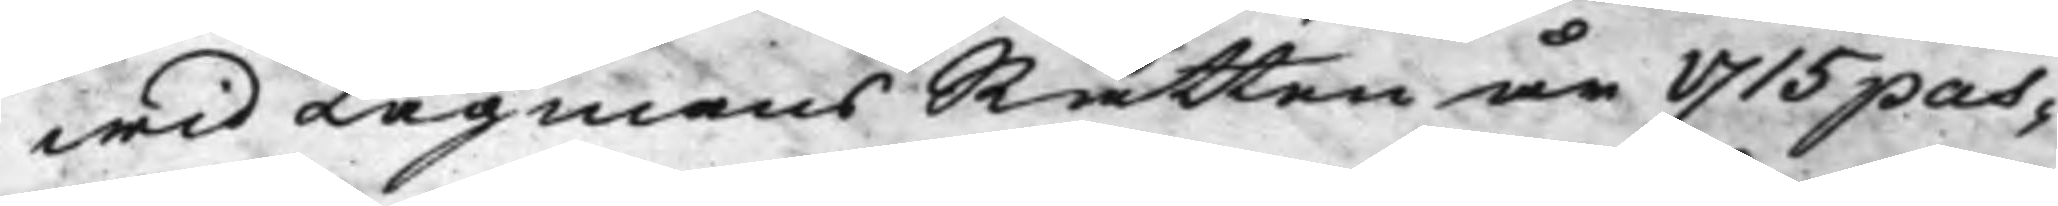wid LagmansRätten år 1715 pas¬
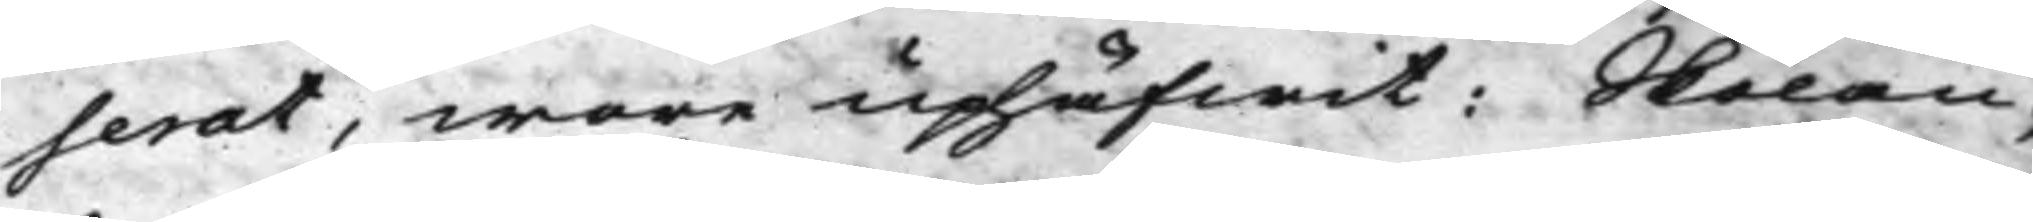serat, wore uphäfwit: Skolan¬
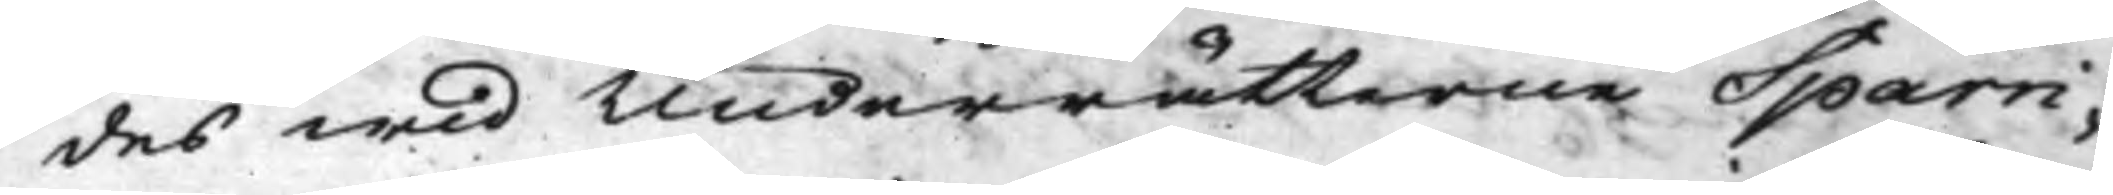des wid Underrätterne Sparri¬
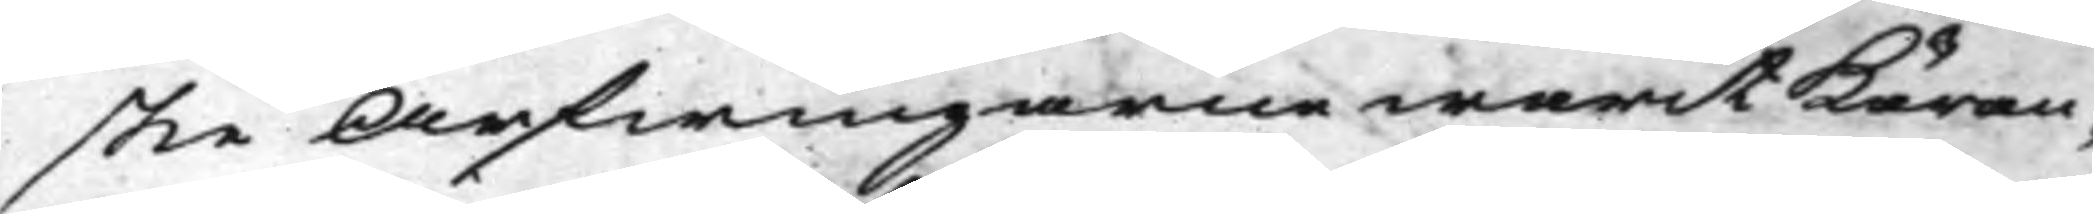ske Arfwingarne warit Käran¬
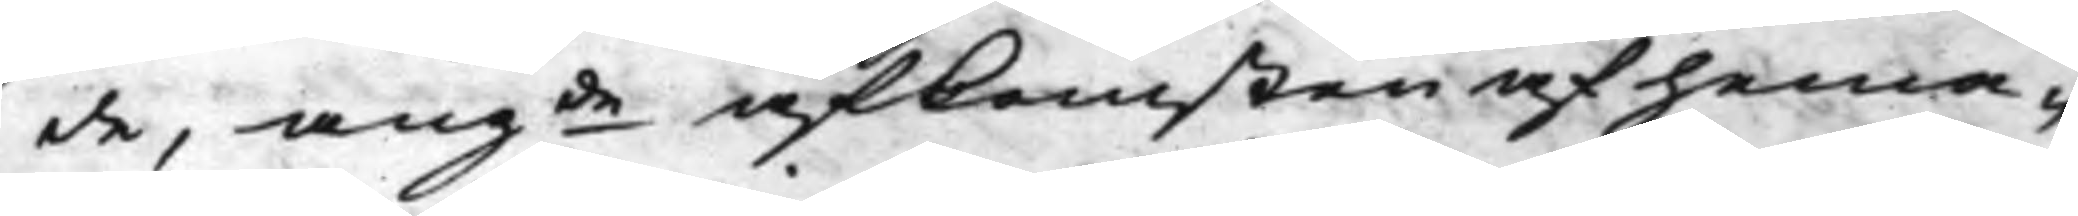de, angde afkomsten af hema¬
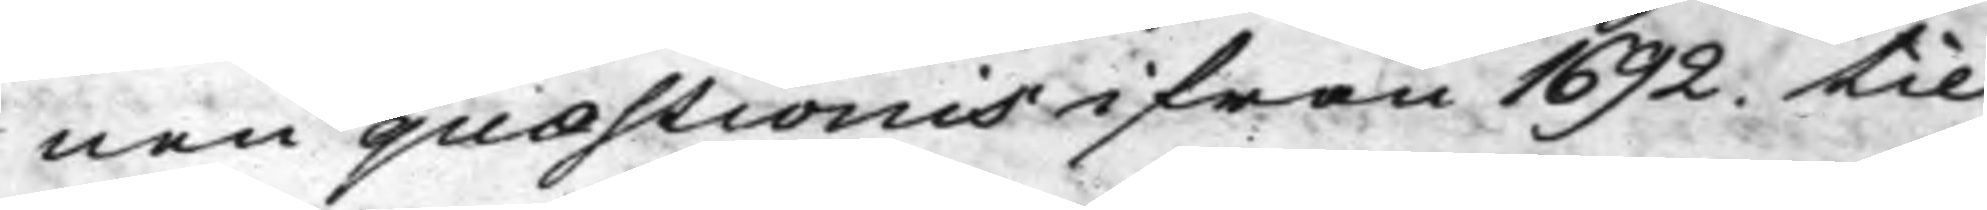nen quæstionis ifrån 1692. til
